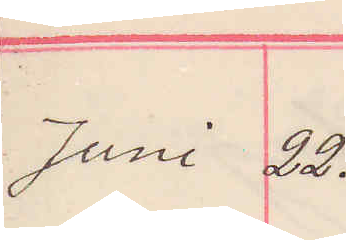Juni 22.
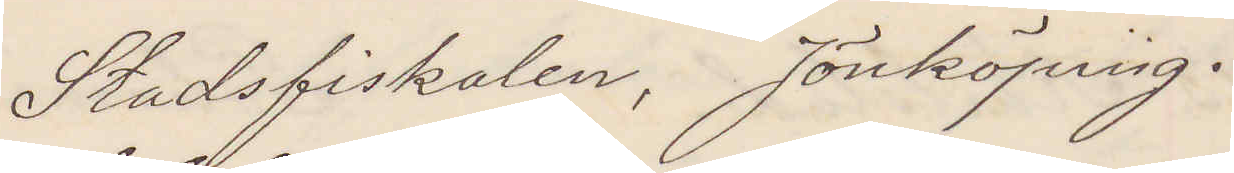Stadsfiskalen Jönköping.
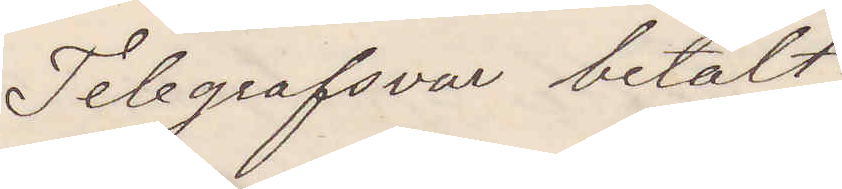Telegrafsvar betalt.
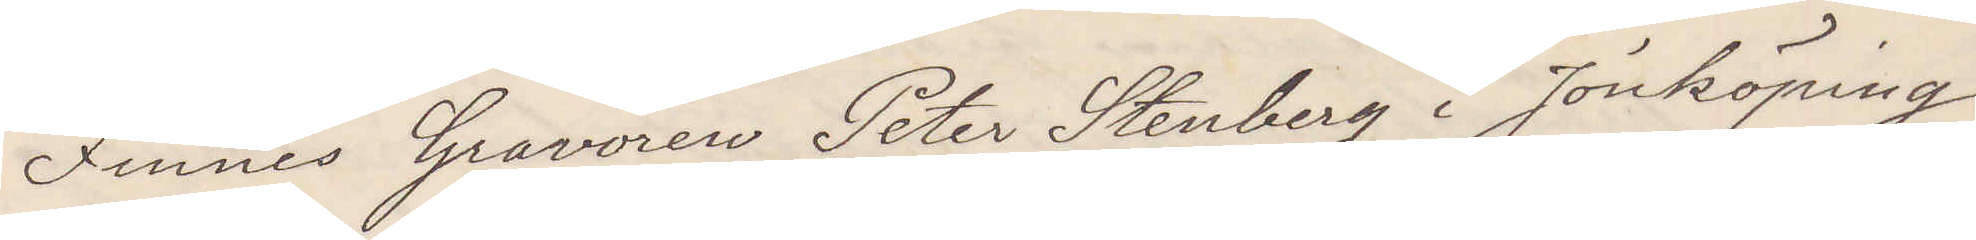Finnes Gravören Peter Stenberg i Jönköping
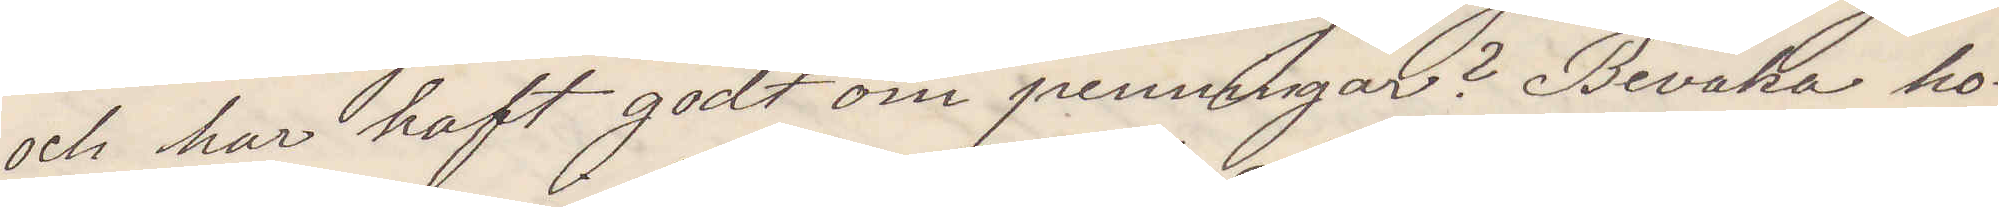och har haft godt om penningar? Bevaka ho¬
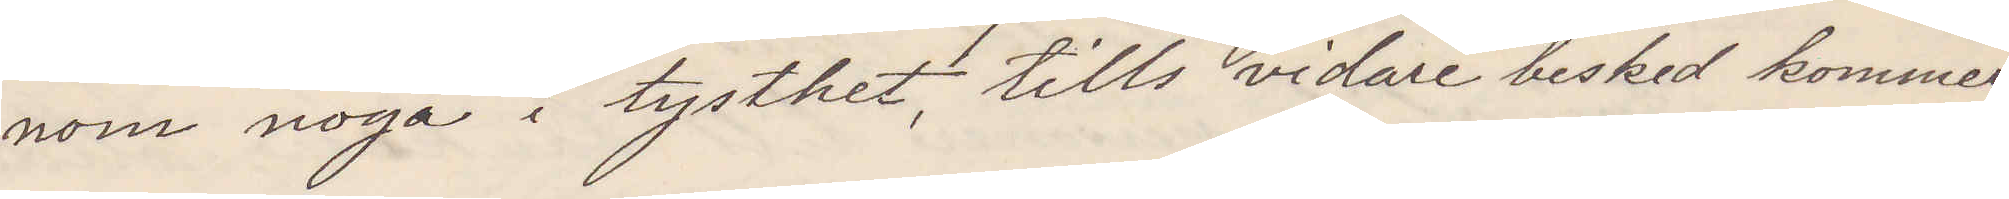nom noga i tysthet, tills vidare besked kommer
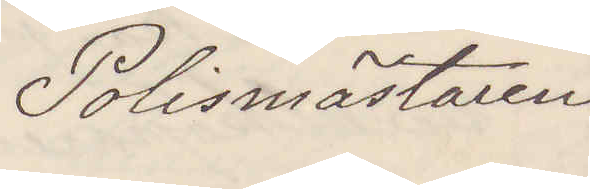Polismästaren
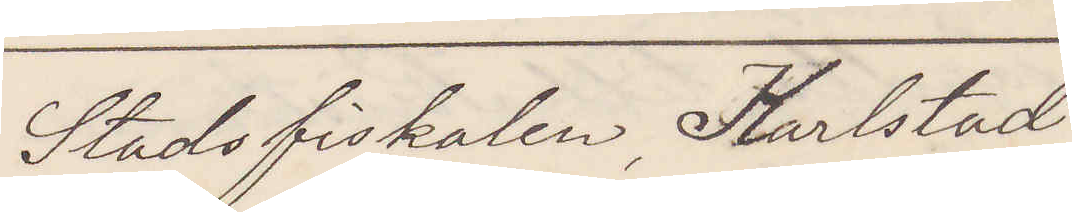Stadsfiskalen Karlstad
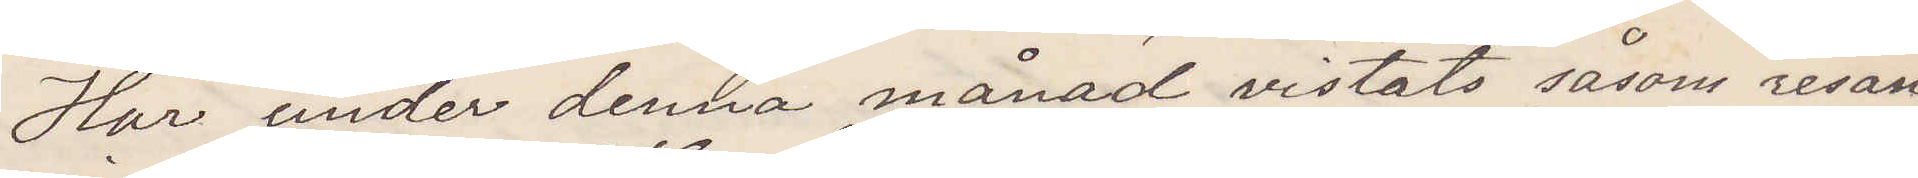Har under denna månad vistats såsom resan¬
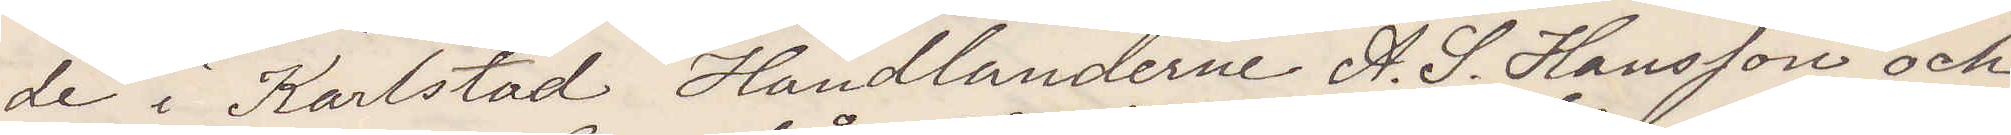de i Karlstad Handlanderne A. S. Hansson och
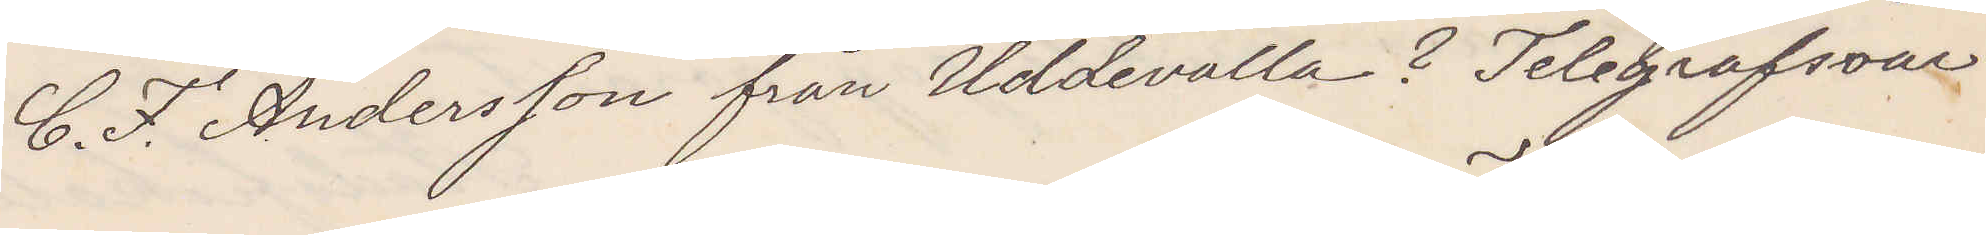C. F. Andersson från Uddevalla? Telegrafsvar.
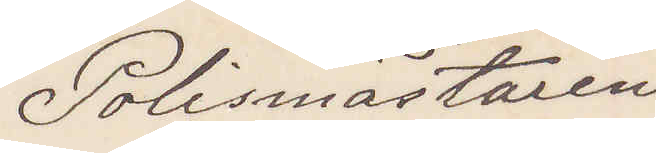Polismästaren
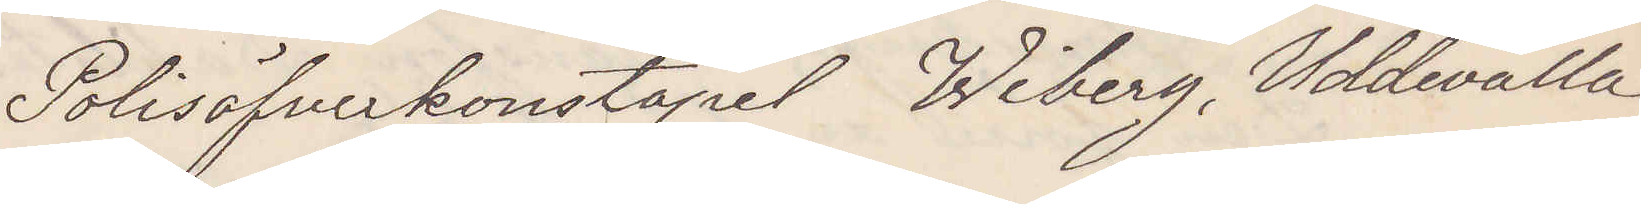Polisöfverkonstapel Wiberg, Uddevalla
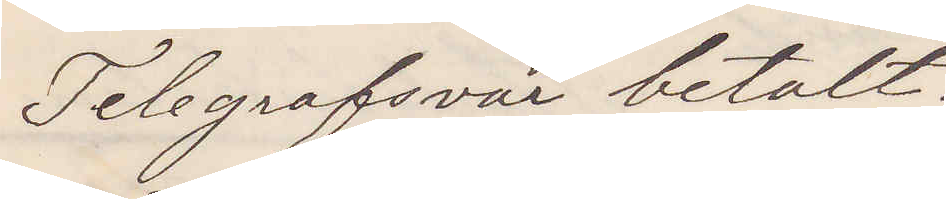Telegrafsvar betalt!
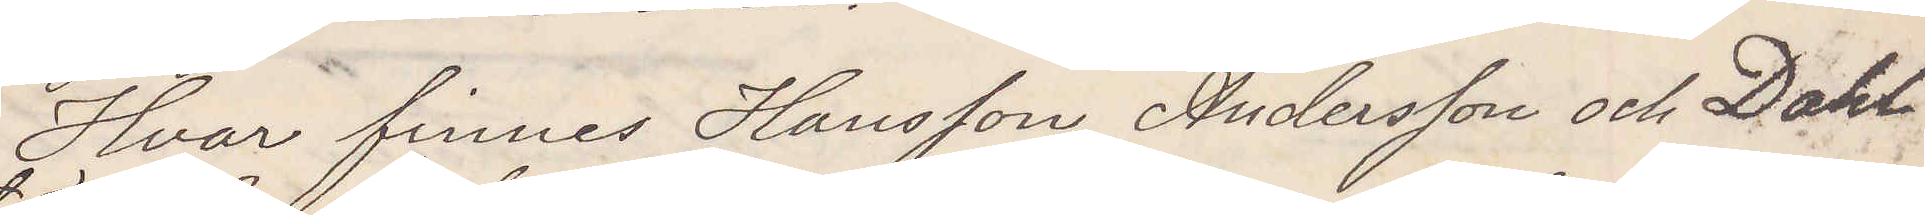Hvar finnes Hansson, Andersson och Dahl¬
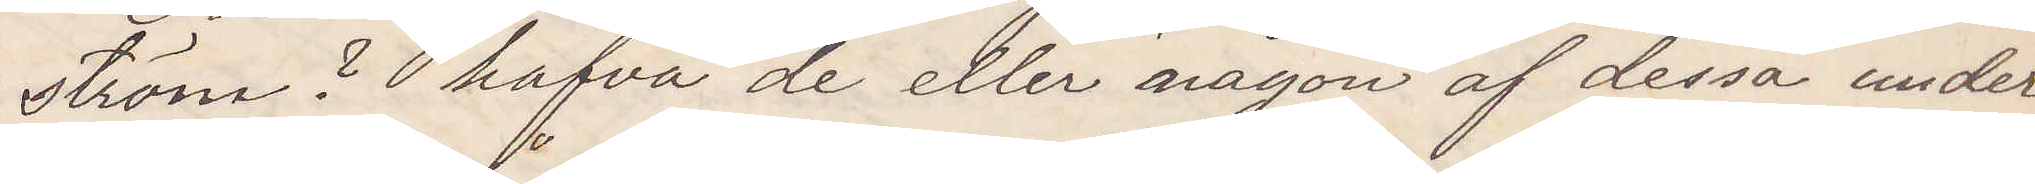ström? hafva de eller någon af dem under
